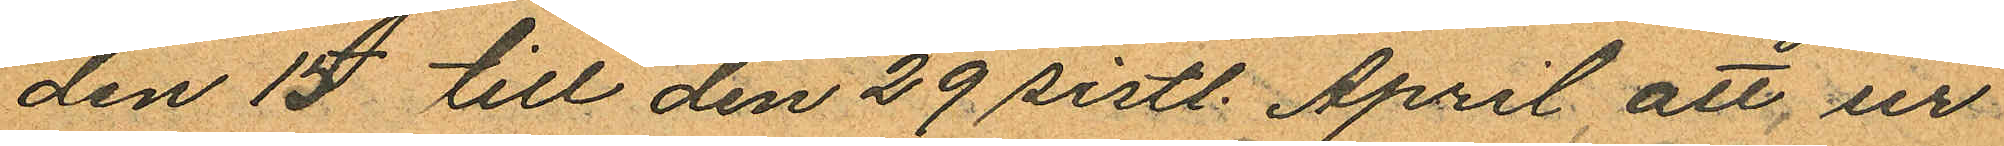den 15 till den 29 sistl. April att, ur
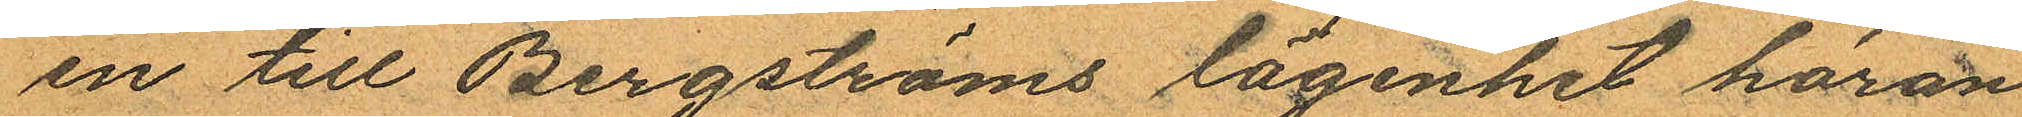en till Bergströms lägenhet höran
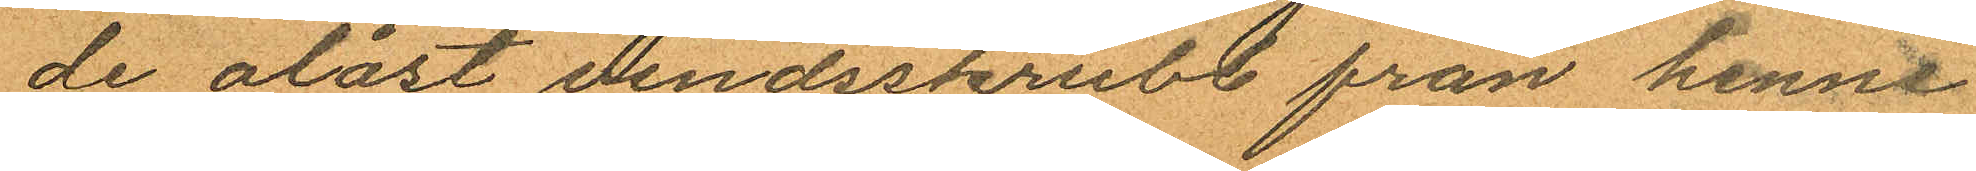de olåst vindsskrubb från henne
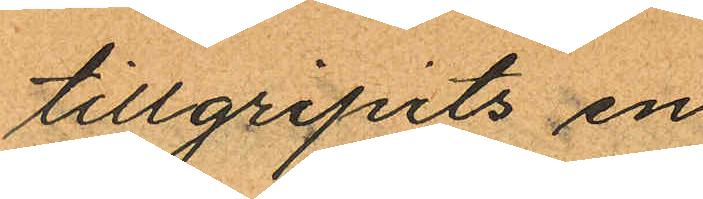tillgripits en
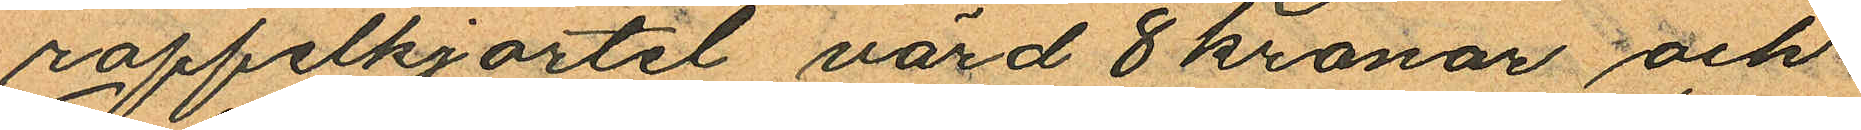roppelkjortel värd 8 kronor och
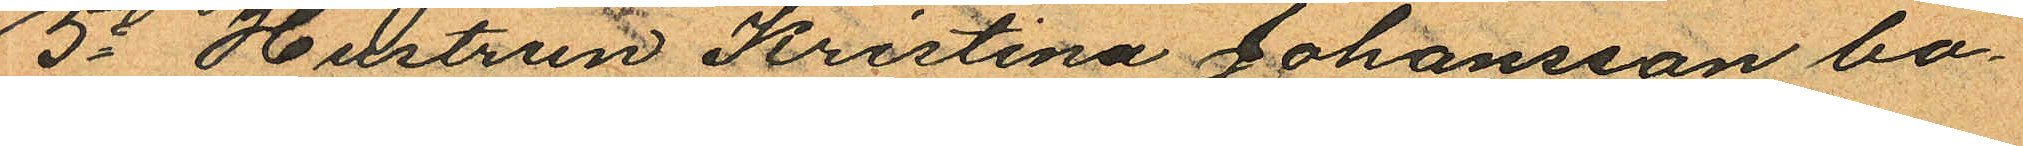5o Hustrun Kristina Johansson bo¬
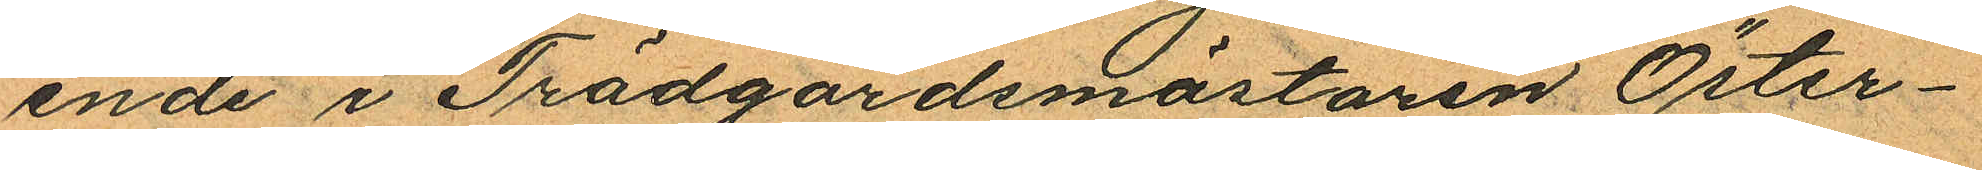ende i Trädgårdsmästaren Öster¬
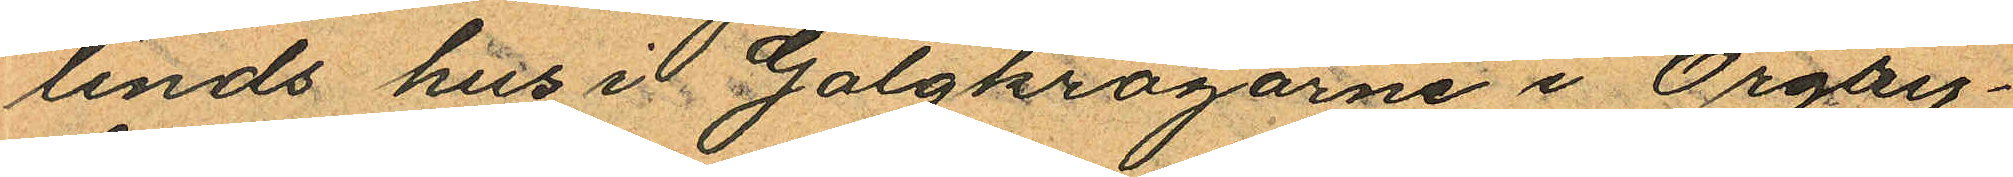linds hus i Galgkrogarne i Örgry¬
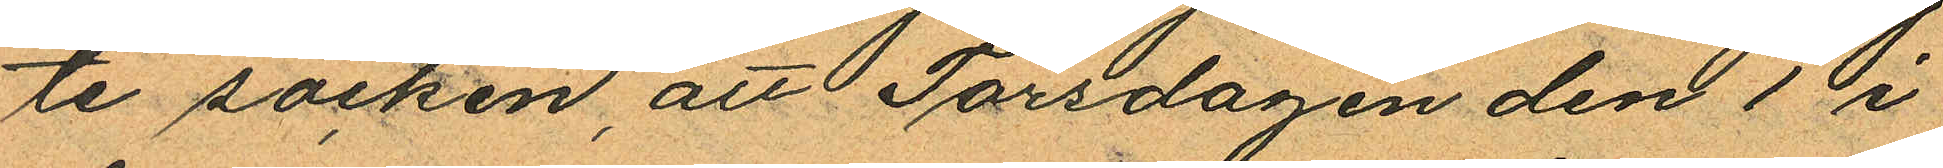te socken, att Torsdagen den 1 i
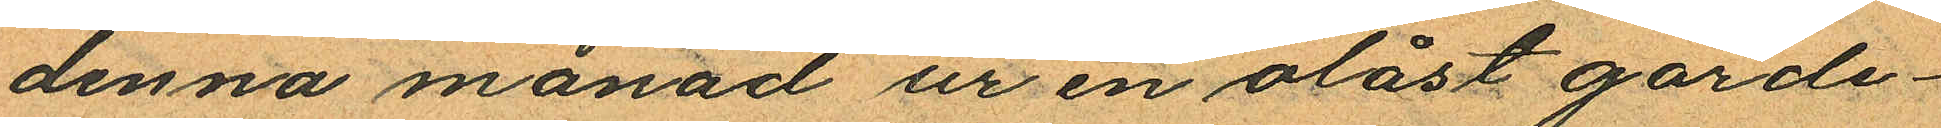denna månad ur en olåst garde¬
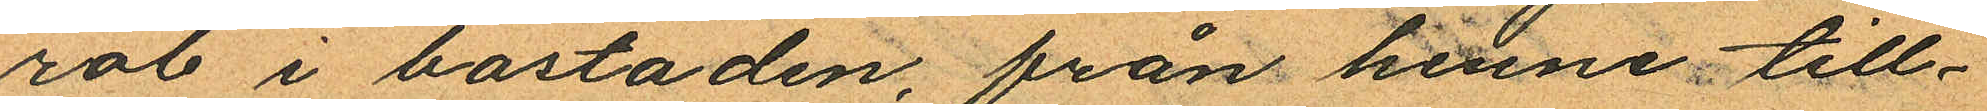rob i bostaden, från henne till¬
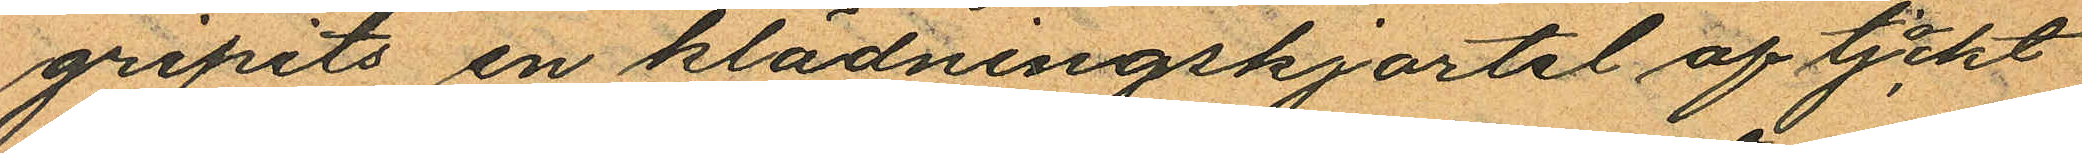gripits en klädningskjortel af tjockt
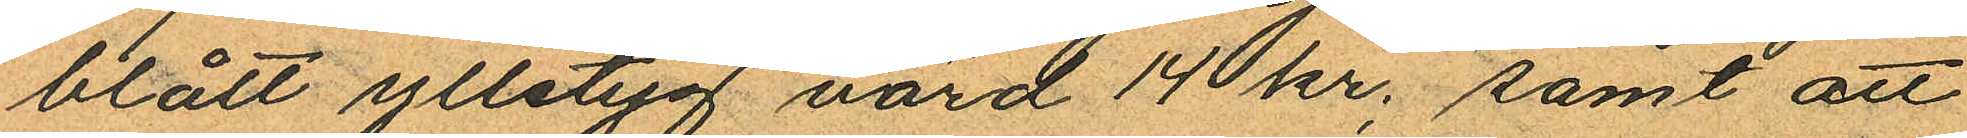blått ylletyg värd 14 kr. samt att
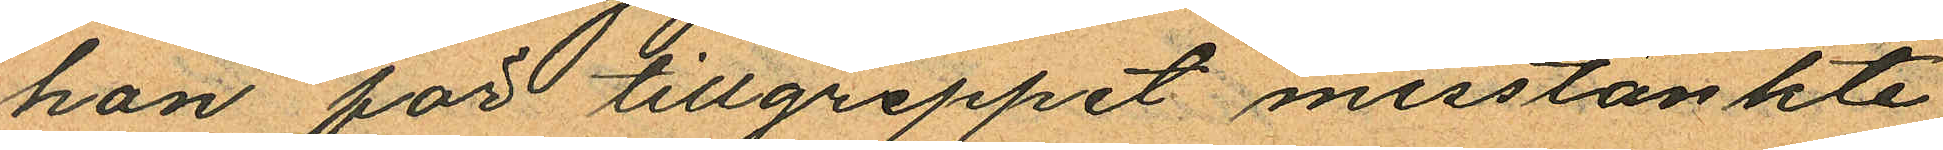hon för tillgreppet misstänkte
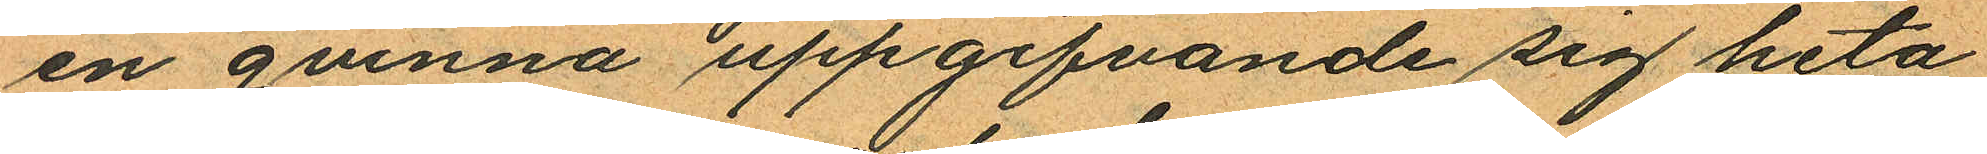en qvinna uppgifvande sig heta
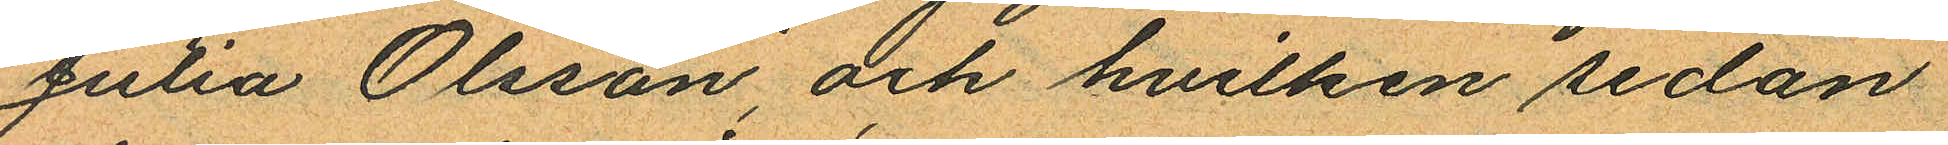Julia Olsson, och hvilken sedan
